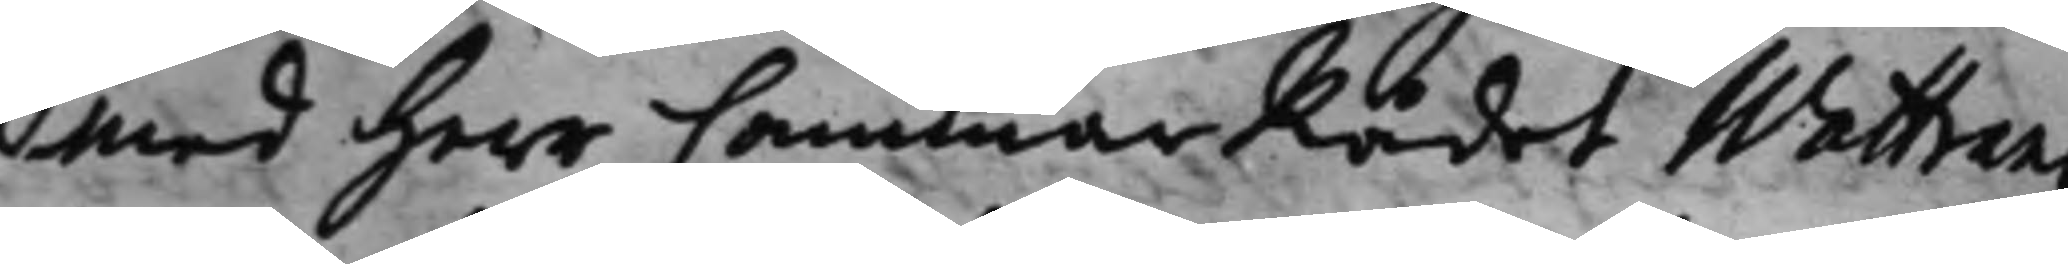med Herr CammarRådet Wattrang
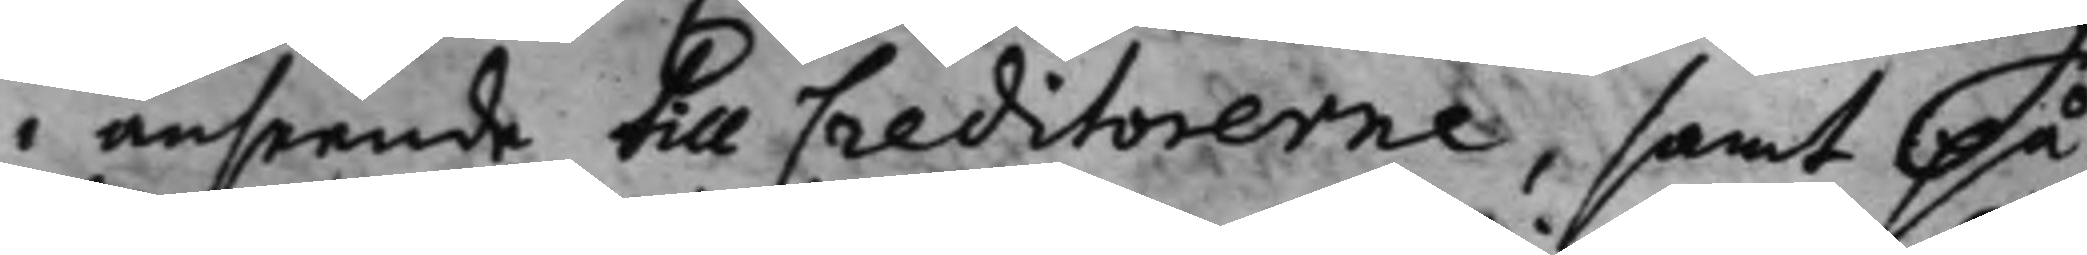i anseende till Creditorerne, samt på¬
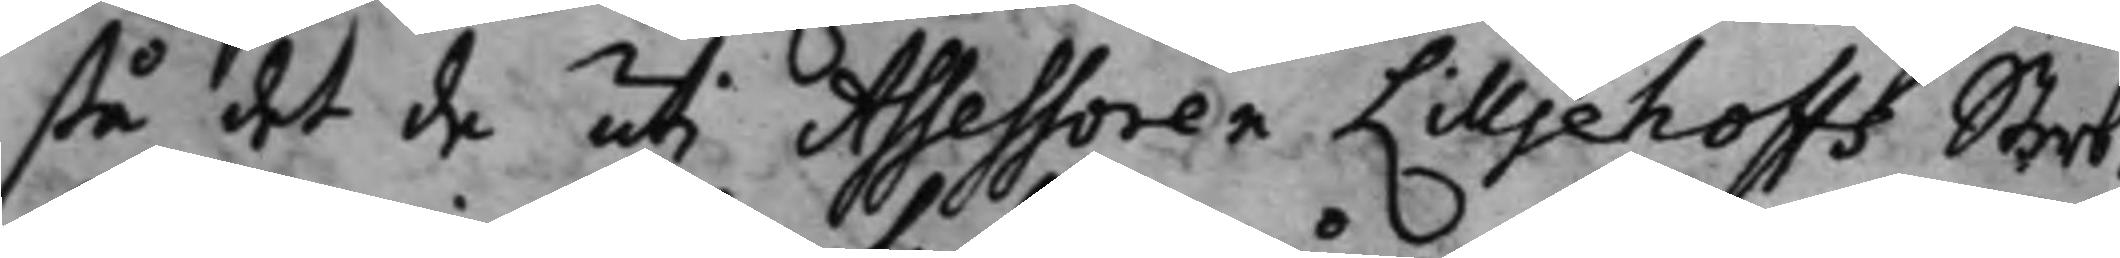stå det de uti Assessoren Lilljehoffs Sterb¬
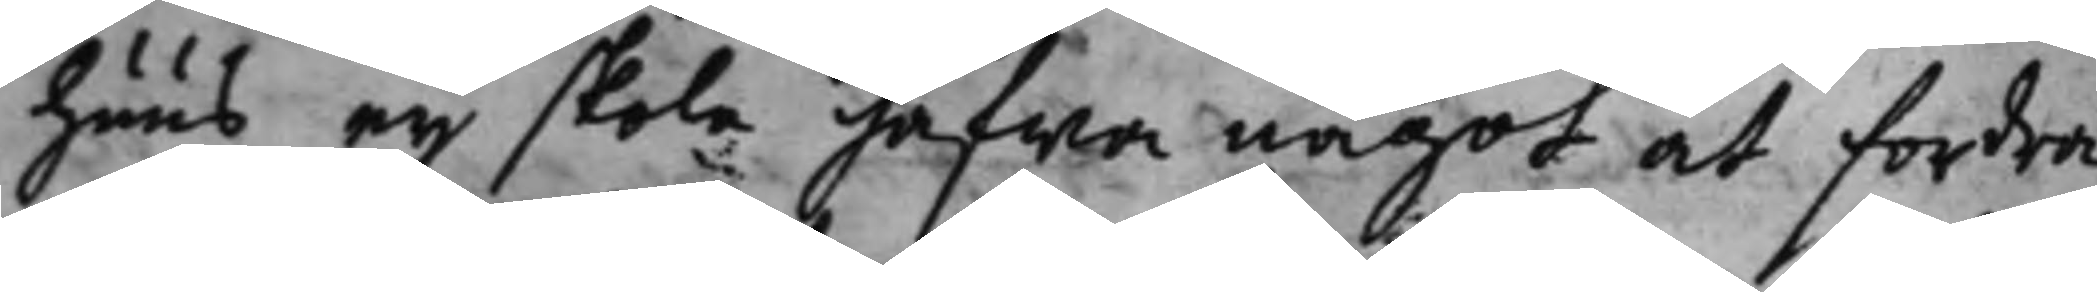huus eij skola hafwa något at fordra.
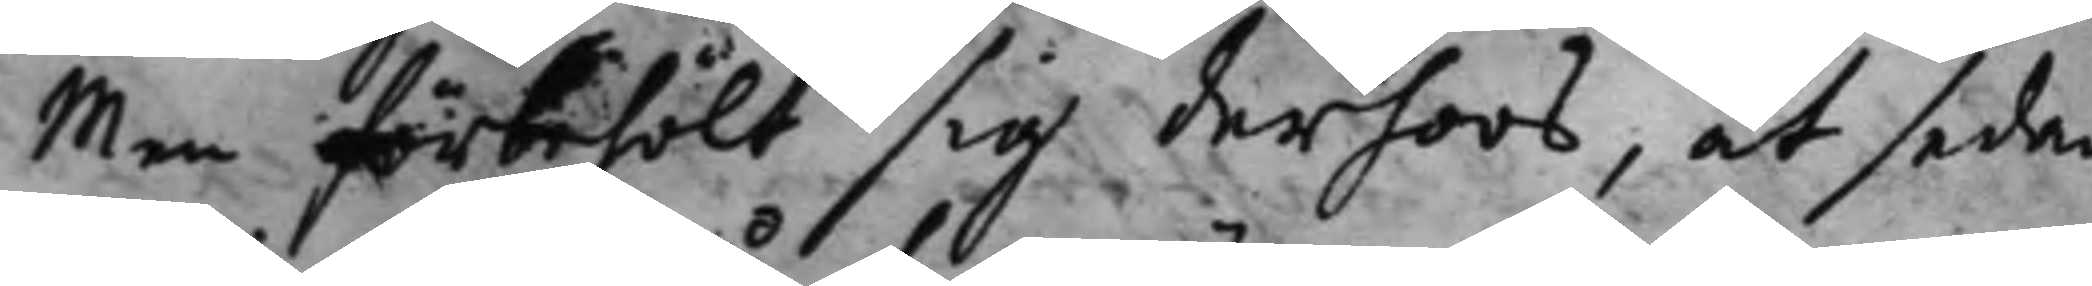Men förbehölt sig derhoos, at sedan
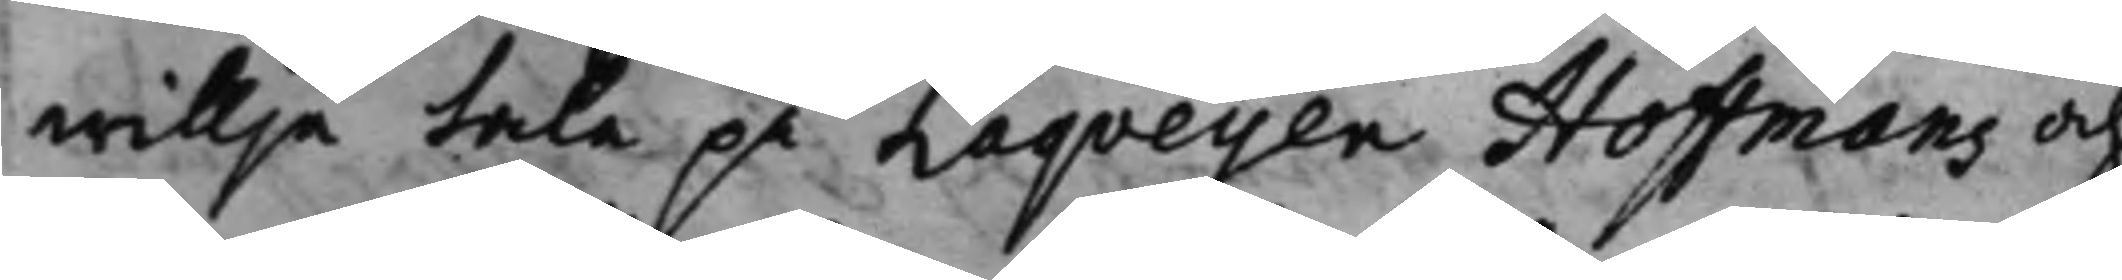willja tala på Laqueijen Hoffmans och
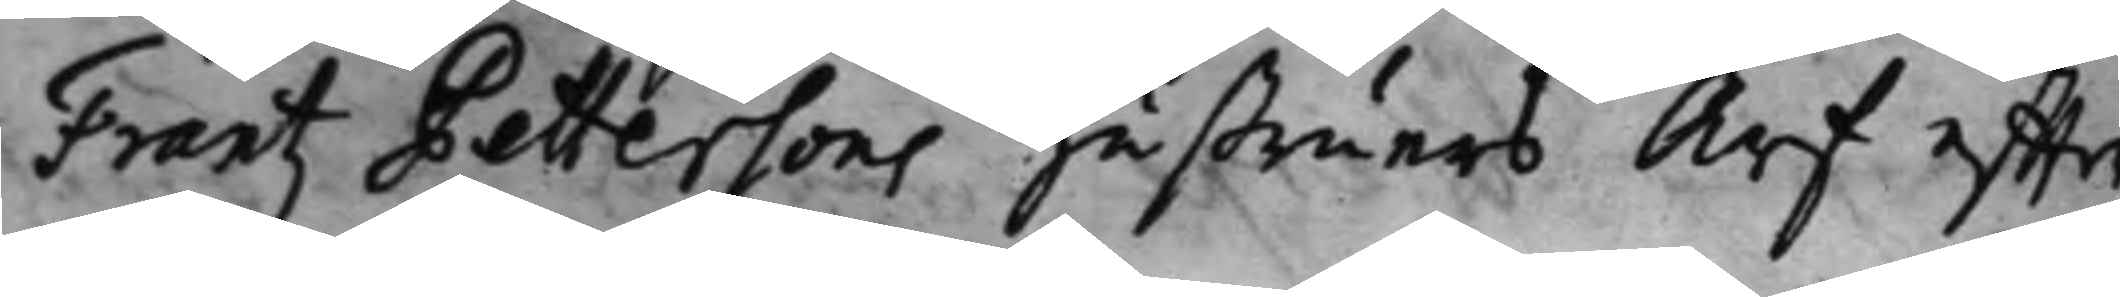Frantz Pettersons hustruers Arf effter
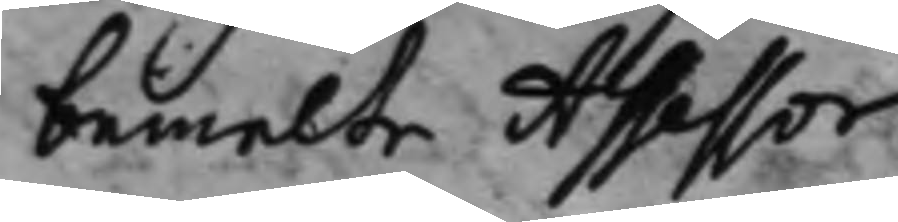bemelte Assessor.
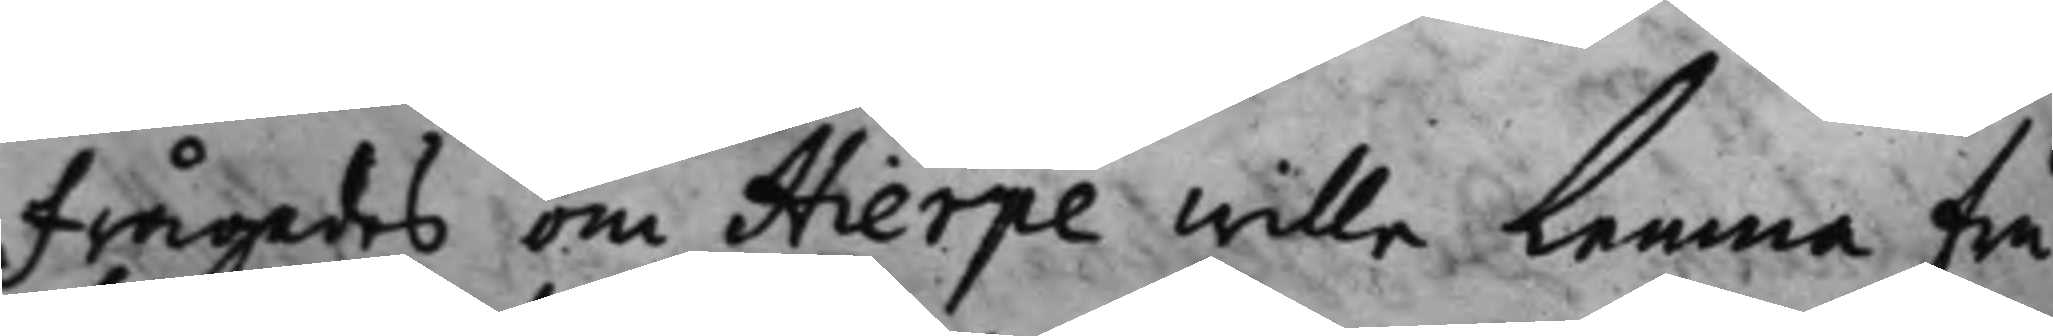Frågades, om Hierpe wille Lemna Fru
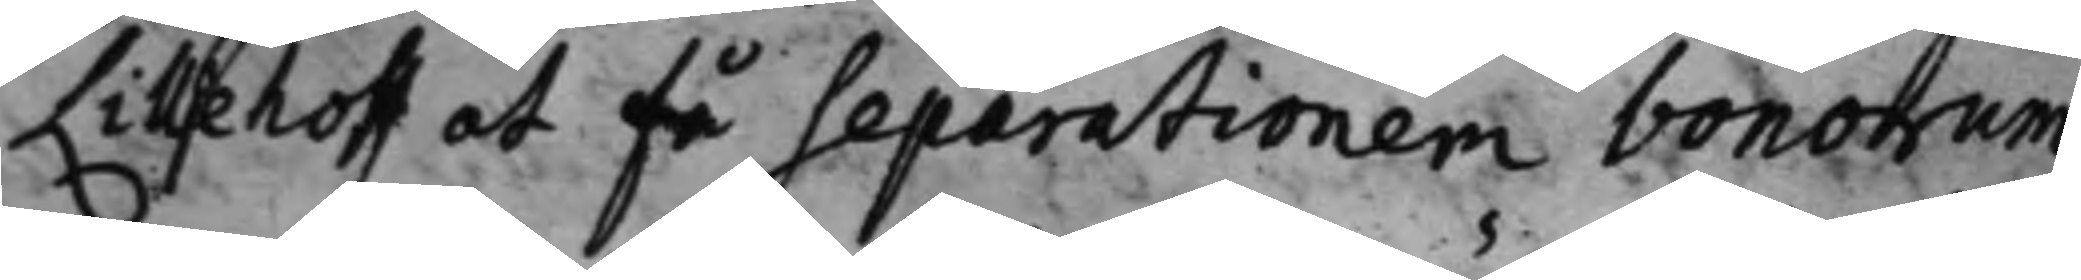Lilljehoff at få Separationem bonotum?
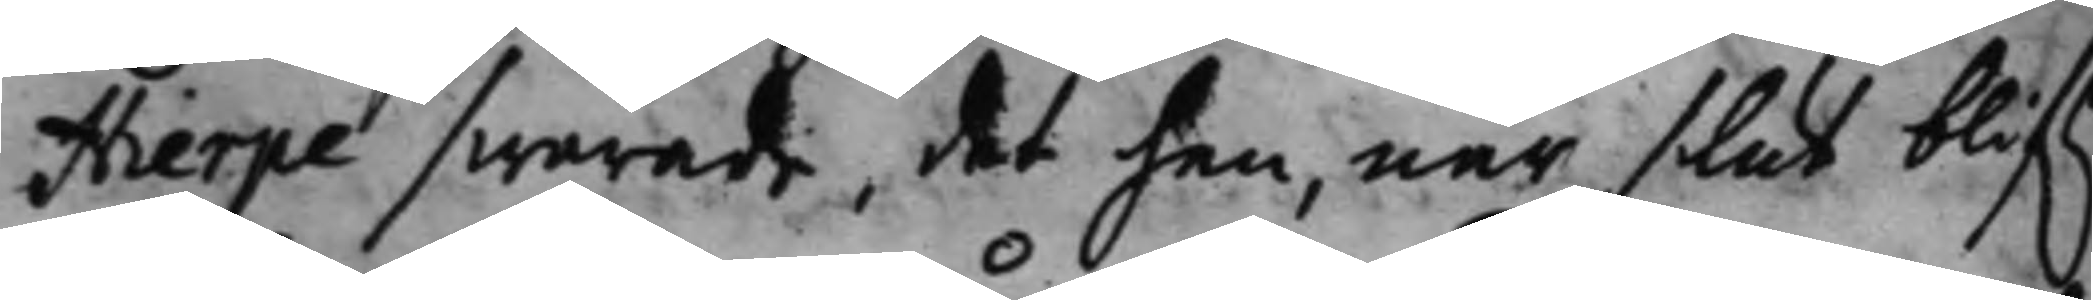Hierpe swarade, det han, när slut blif.r
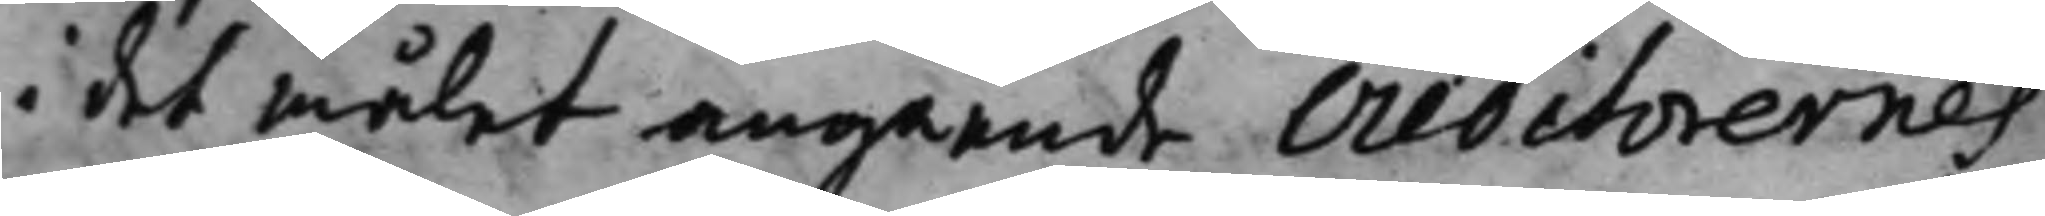i det målet angående creditorernes
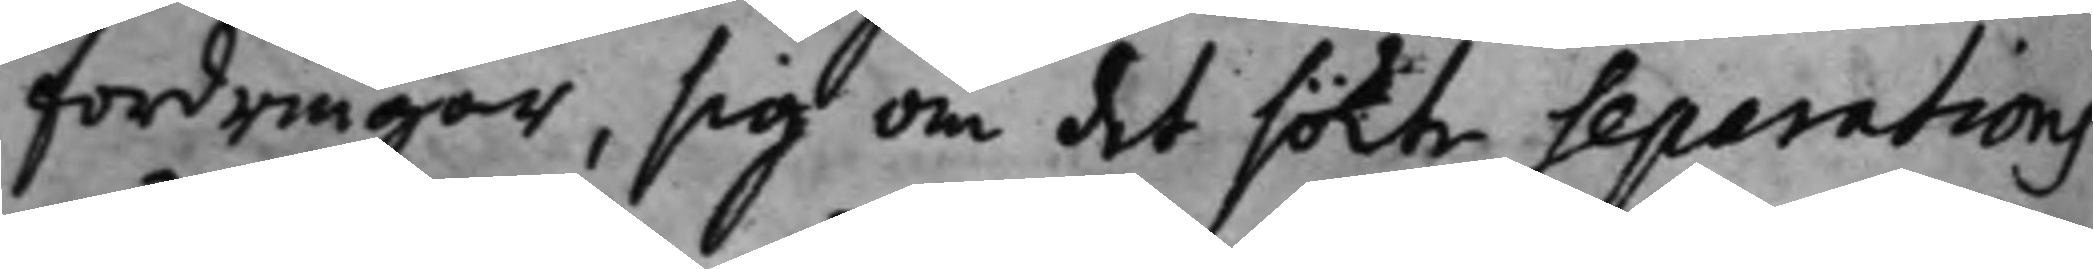fordringar, sig om det sökte Separations¬
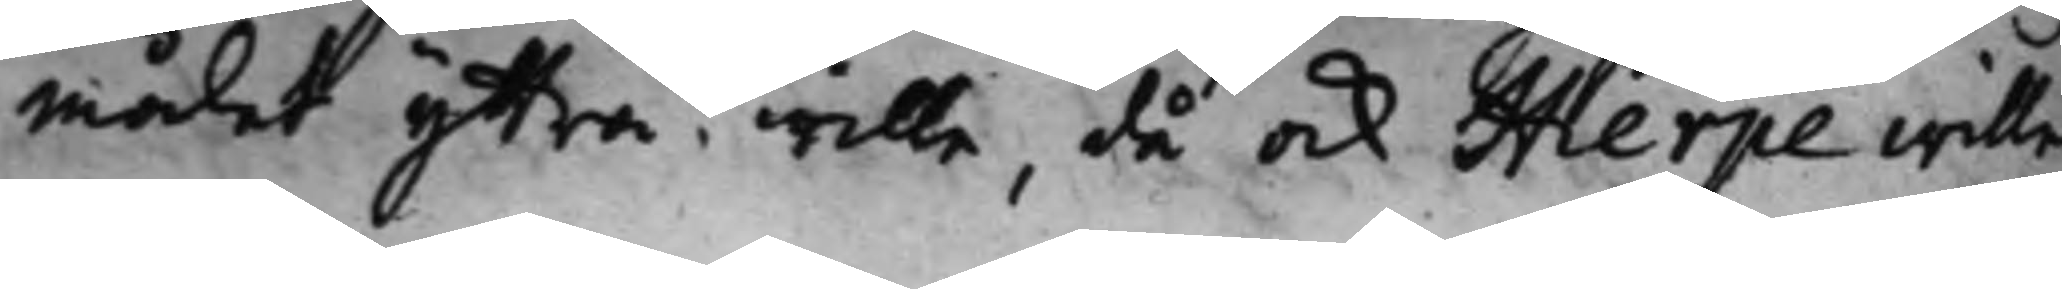målet yttra wille, då ock Hierpe wille
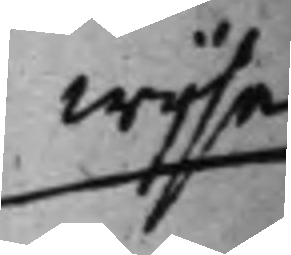wijsa
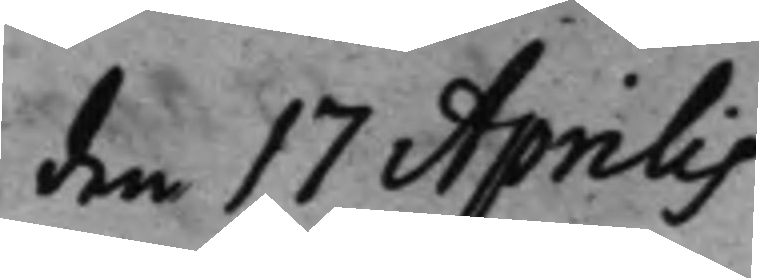den 17 Aprilis
